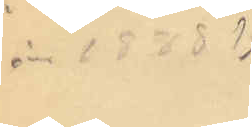år 1888?
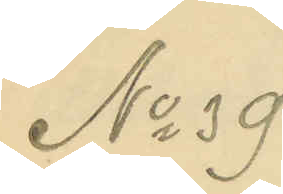No 39
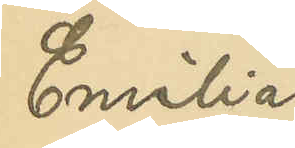Emilia
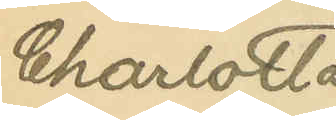Charlotta
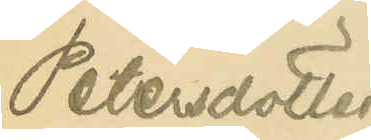Petersdotter
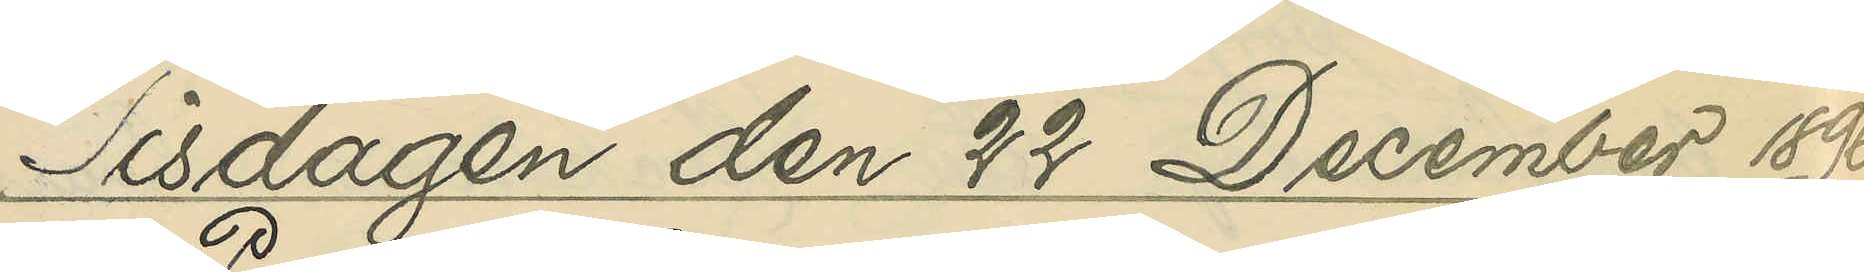Tisdagen den 22 December 1896.
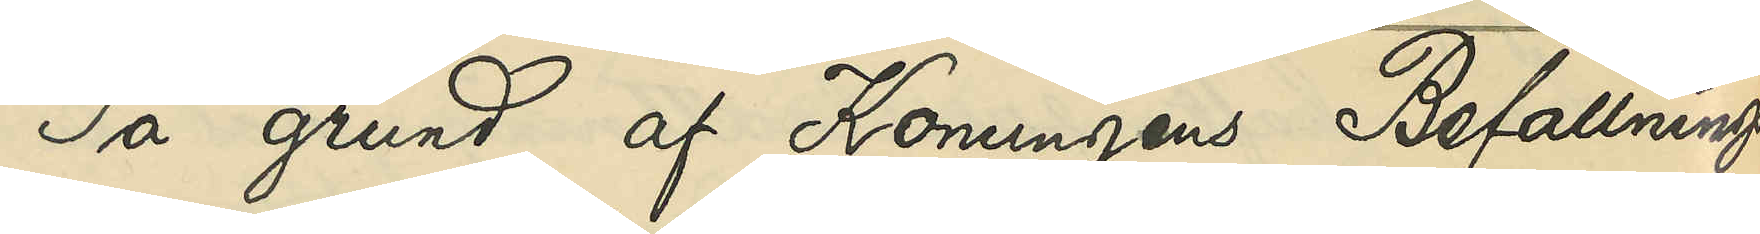På grund af Konunens Befallnings¬
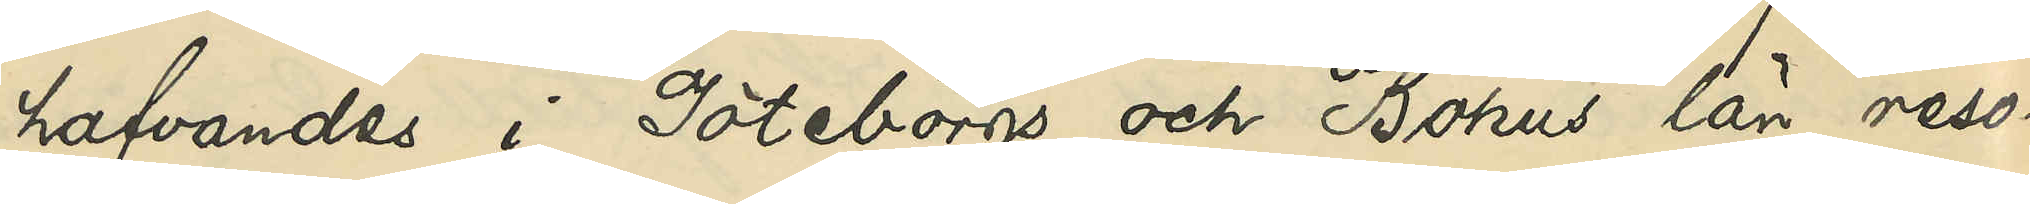hafvandes i Göteborgs och Bohus län reso¬
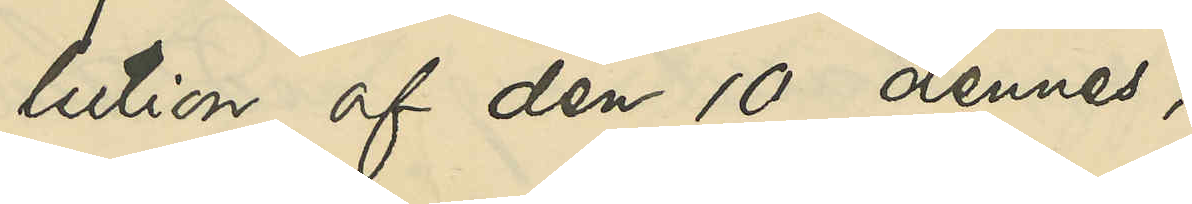lution af den 10 dennes,
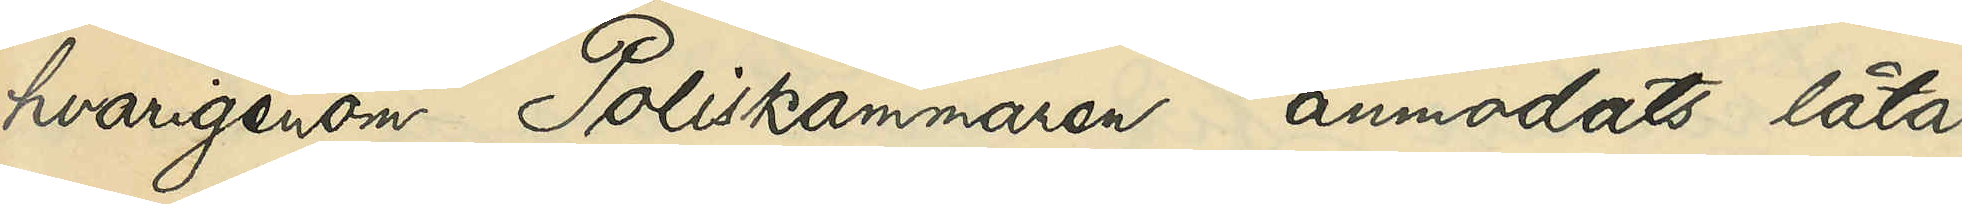hvarigenom Poliskammaren anmodats låta
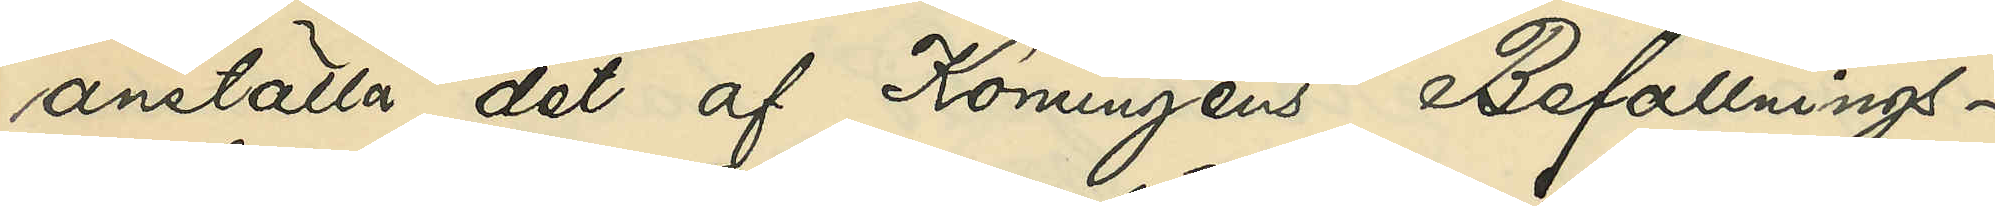anställa det af Konungens Befallnings¬
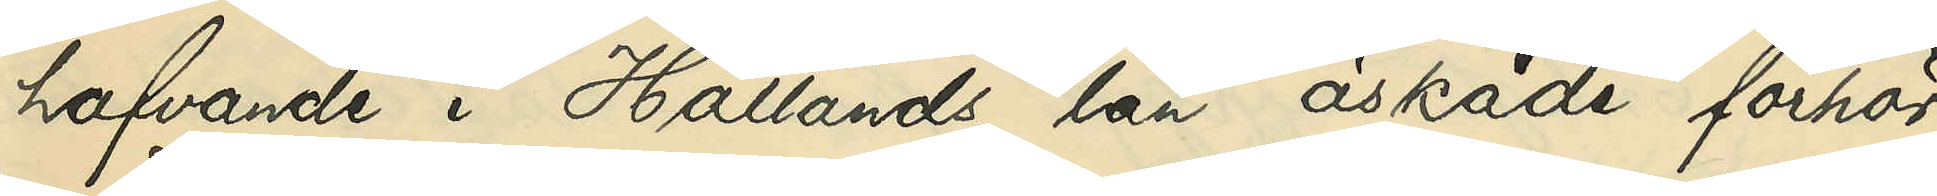hafvande i Hallands län äskade förhör
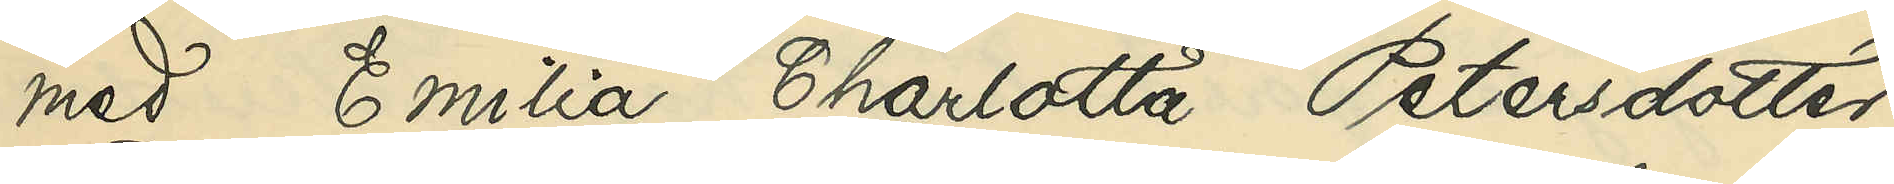med Emilia Charlotta Petersdotter
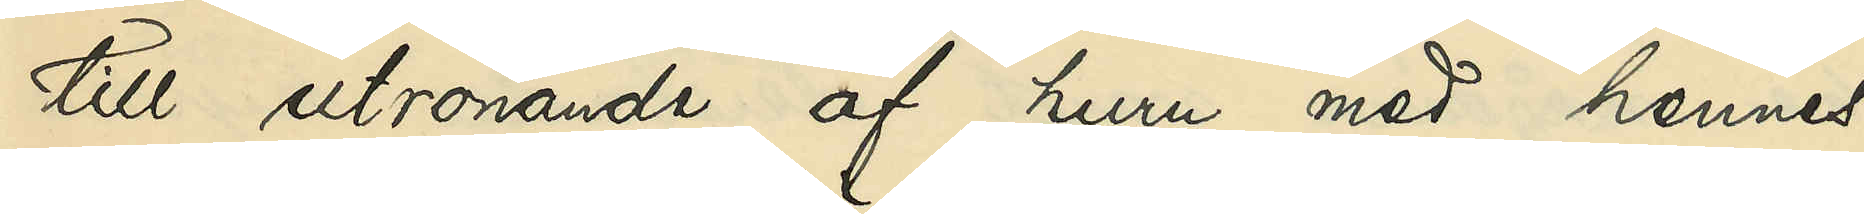till utrönande af, huru med hennes
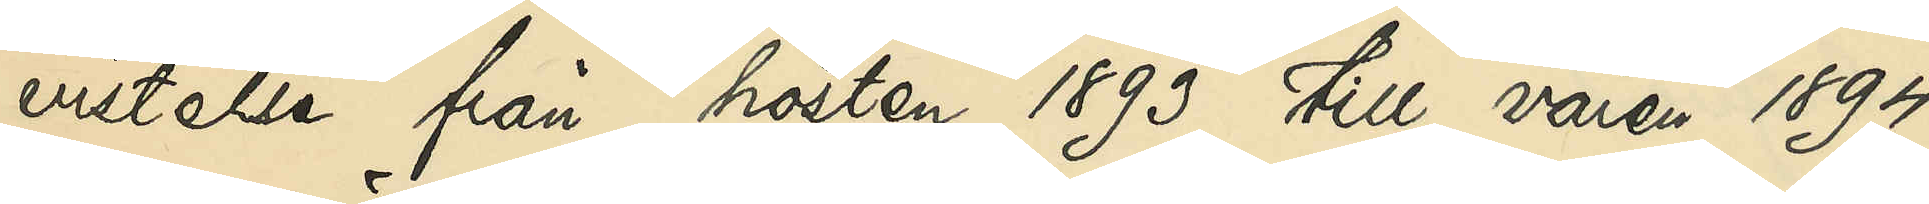vistelse från hösten 1893 till våren 1894
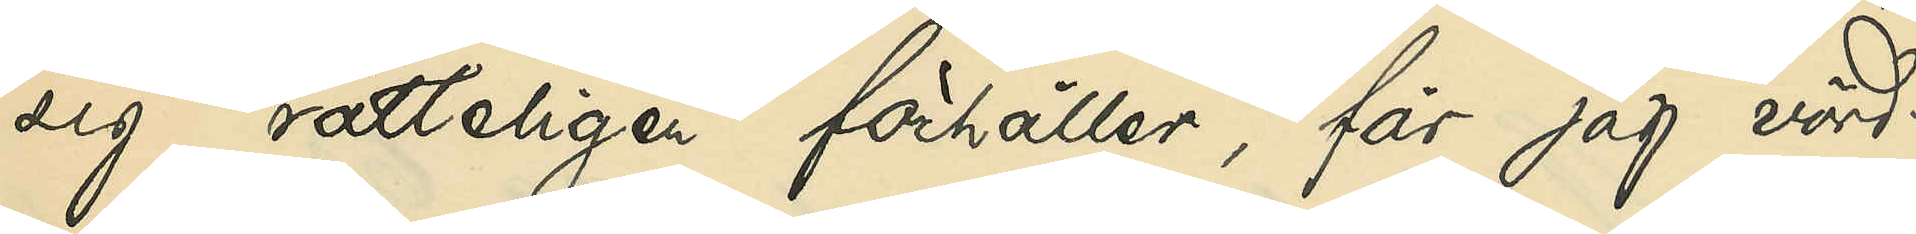sig rätteligen förhåller, får jag vörd¬
